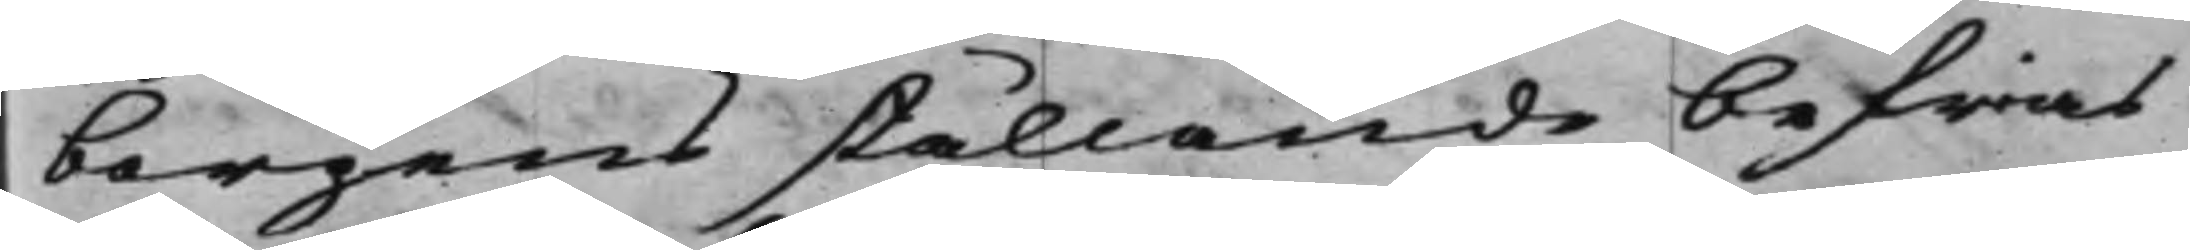borgens ställande befrias
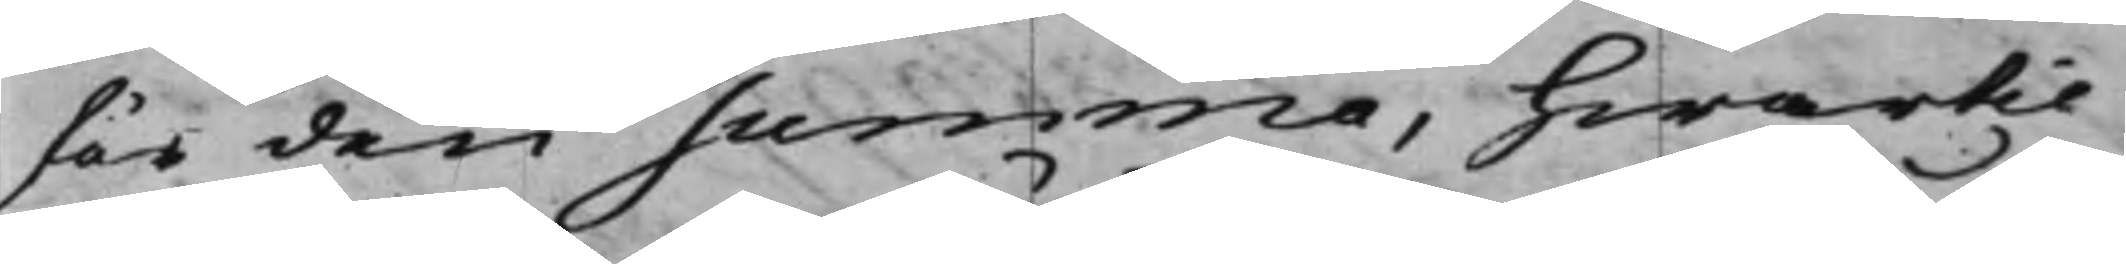för den summa, hwartil
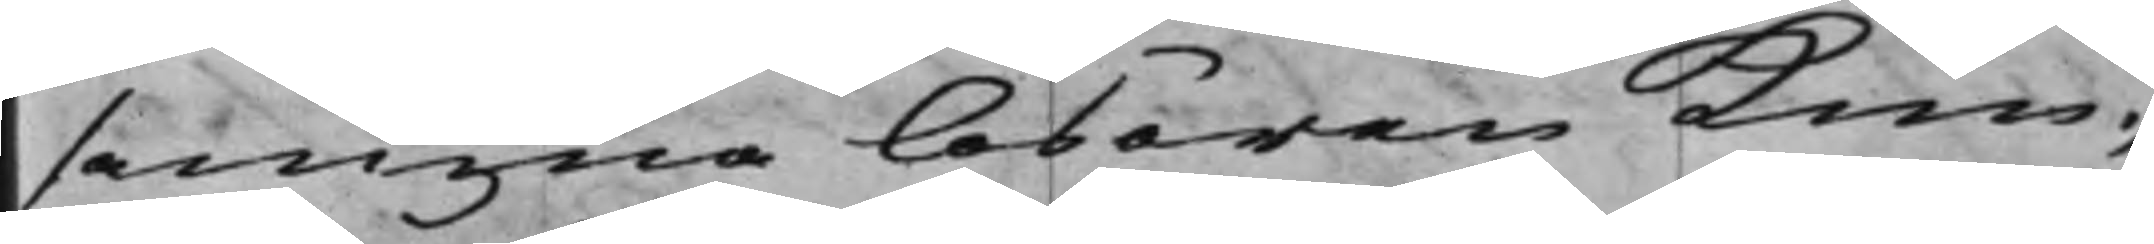samma lösören kun¬
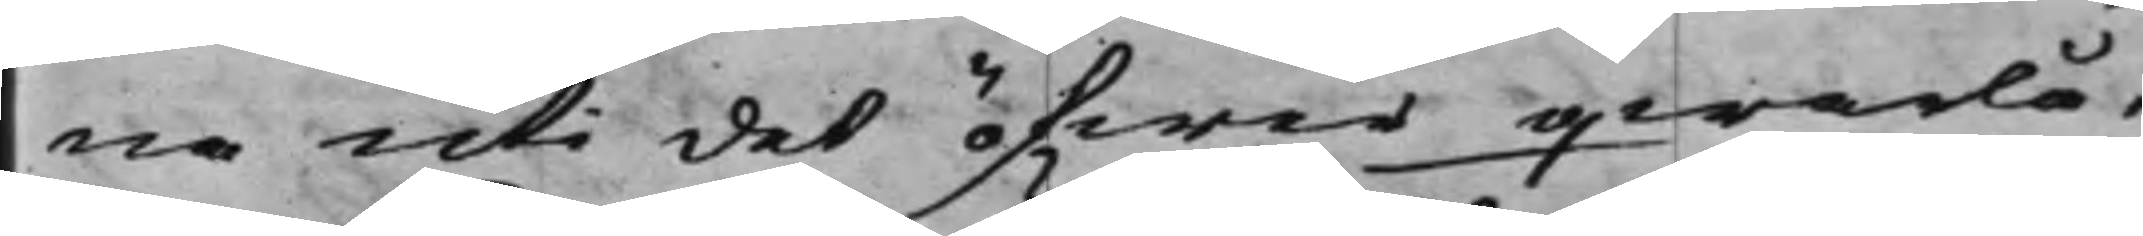na uti det öfwer qwarlå¬
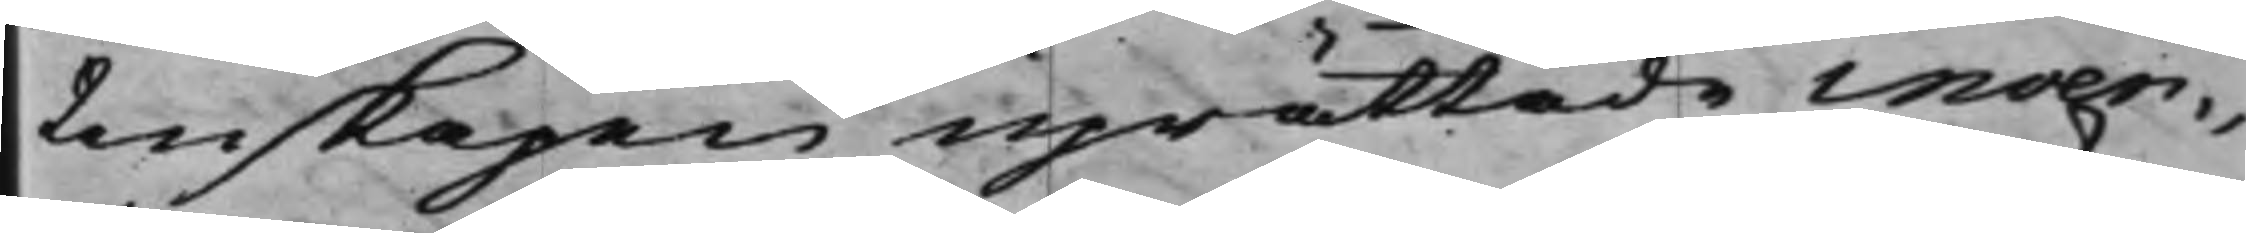tenskapen uprättade inven¬
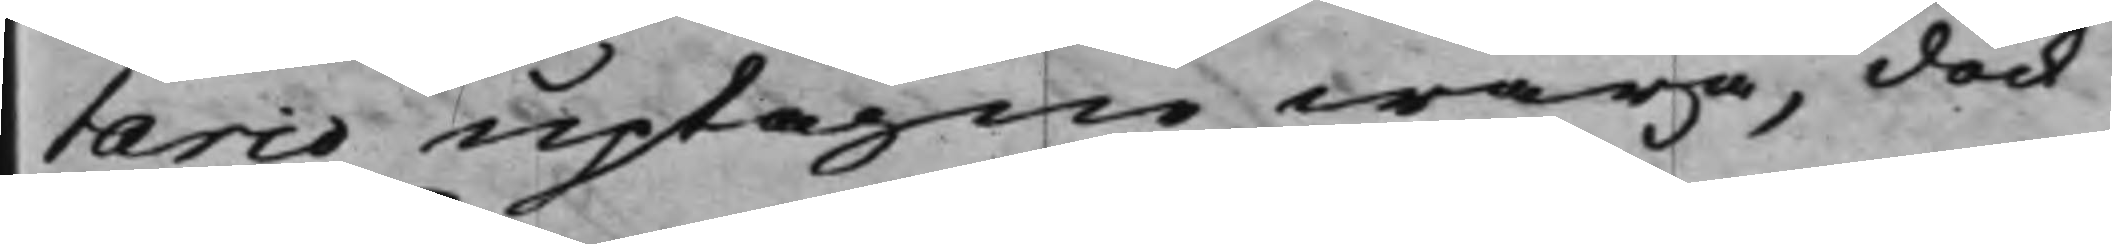tario uptagne wara, dock
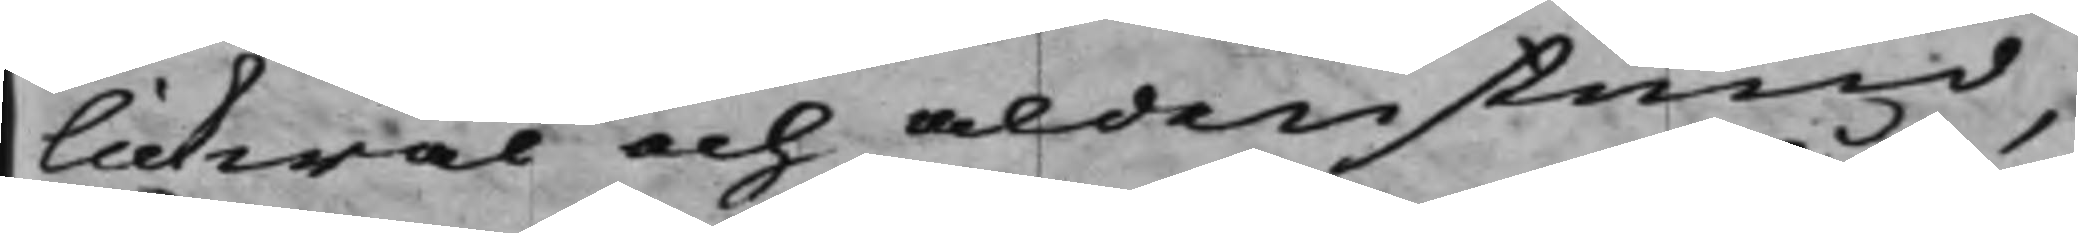likwäl och aldenstund,
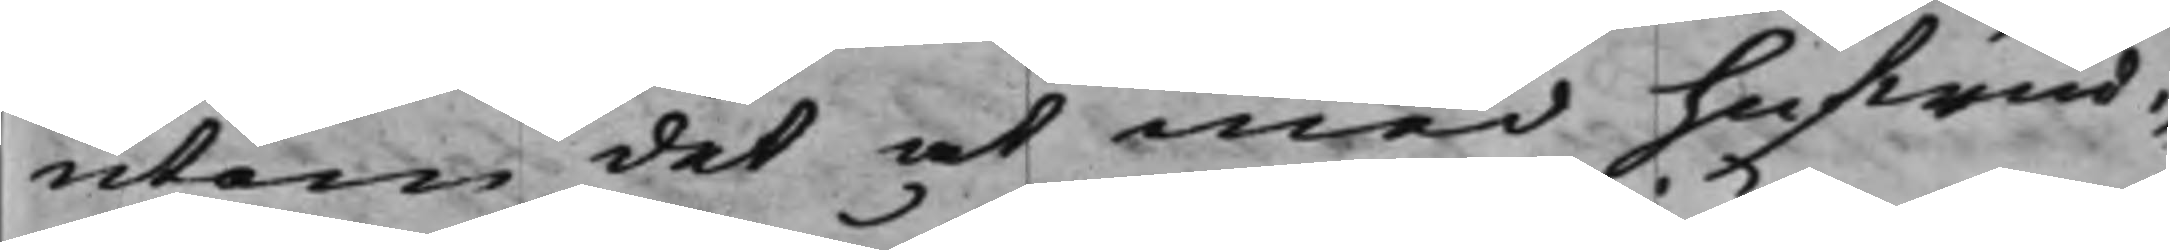utan det at med hufwud¬
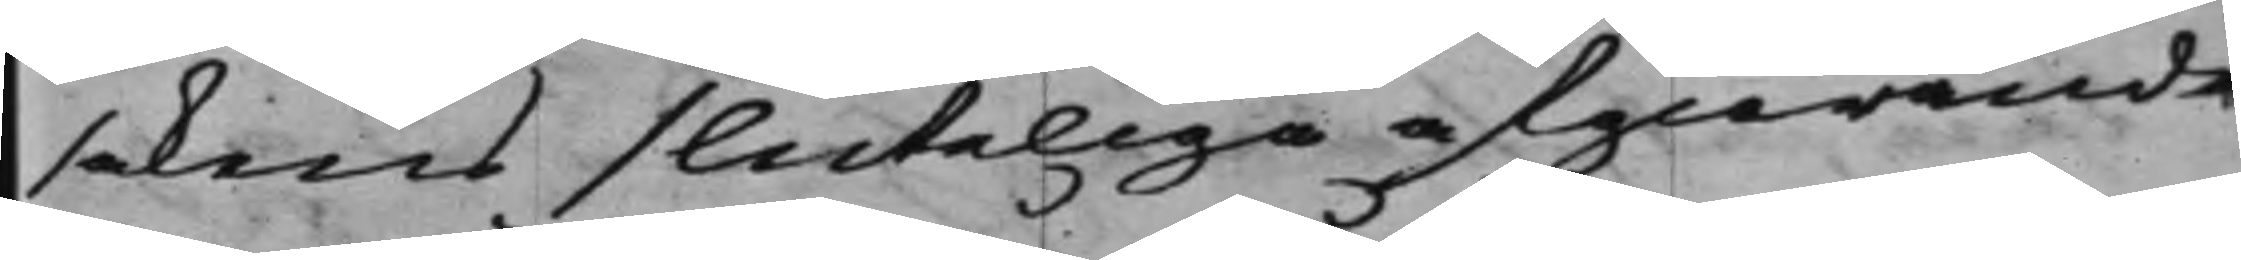sakens sluteliga afgiörande
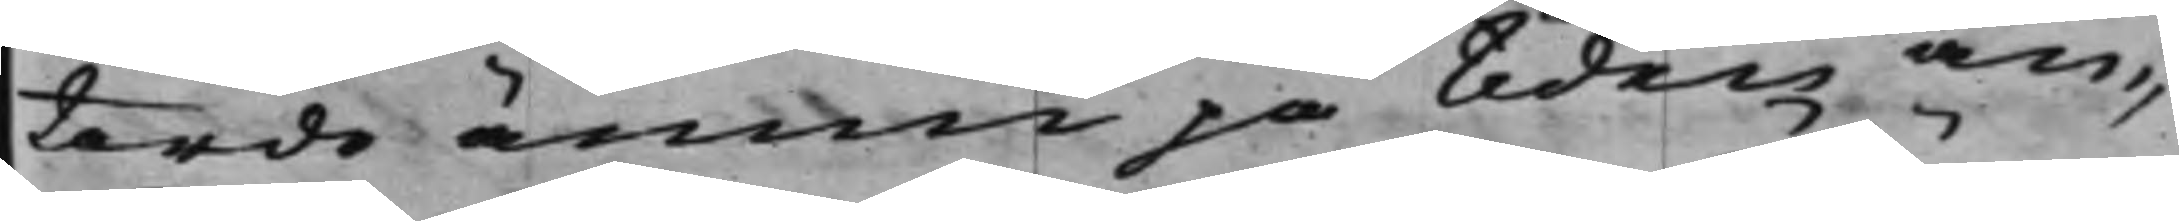torde ännu på tiden an¬
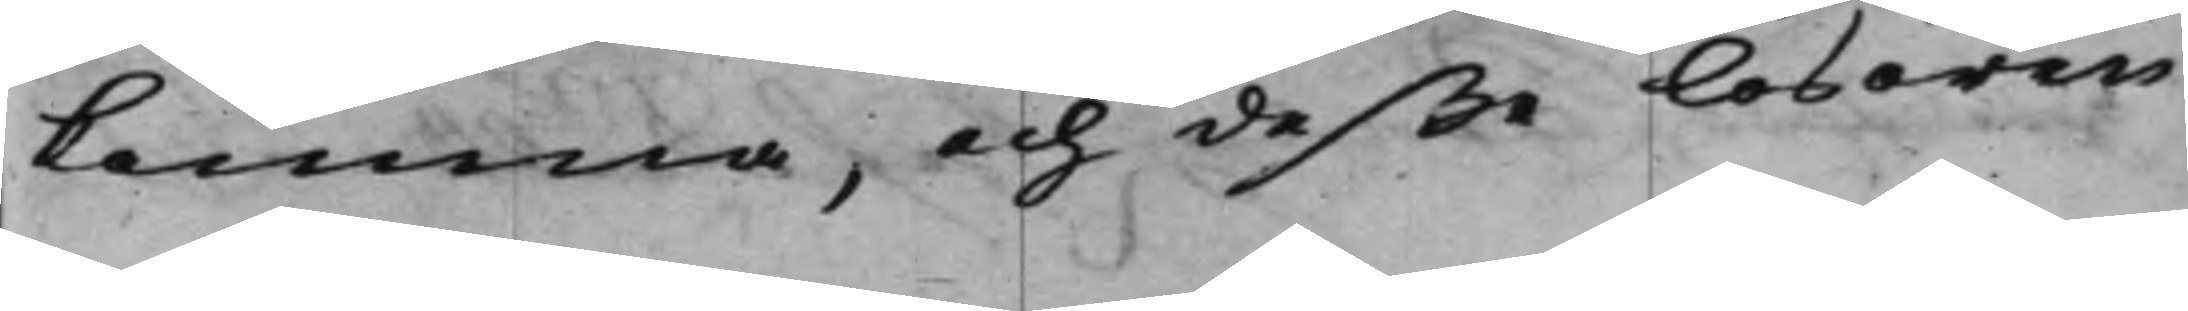komma, och deße lösören
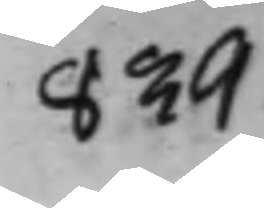839
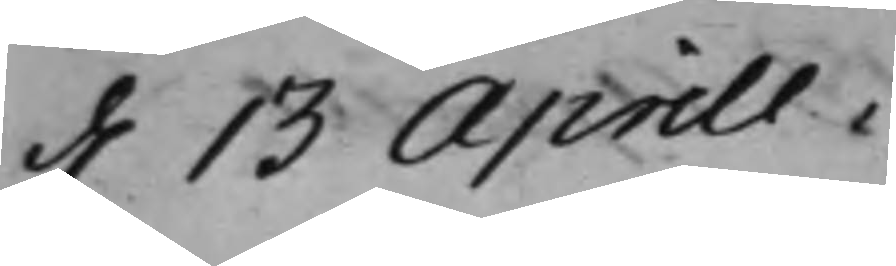d. 13 Aprill.
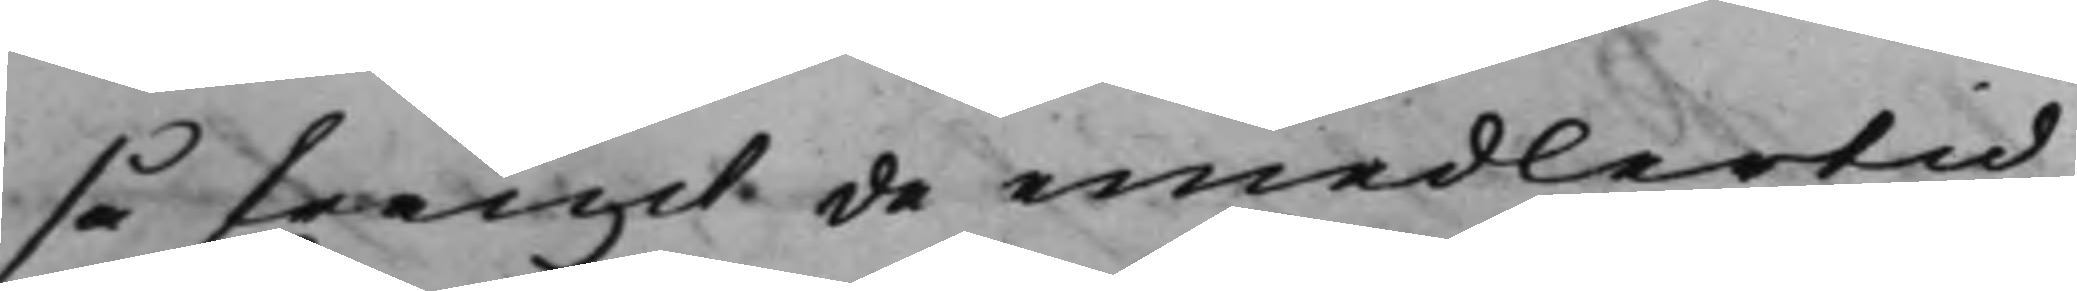så framt de emedlertid
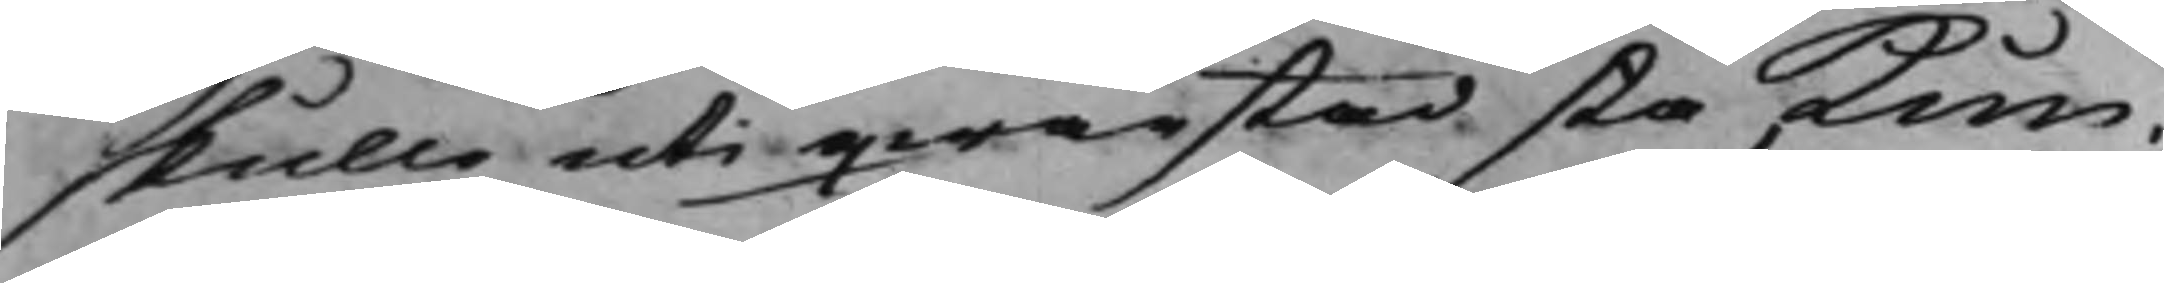skulle uti qwarstad stå kun¬
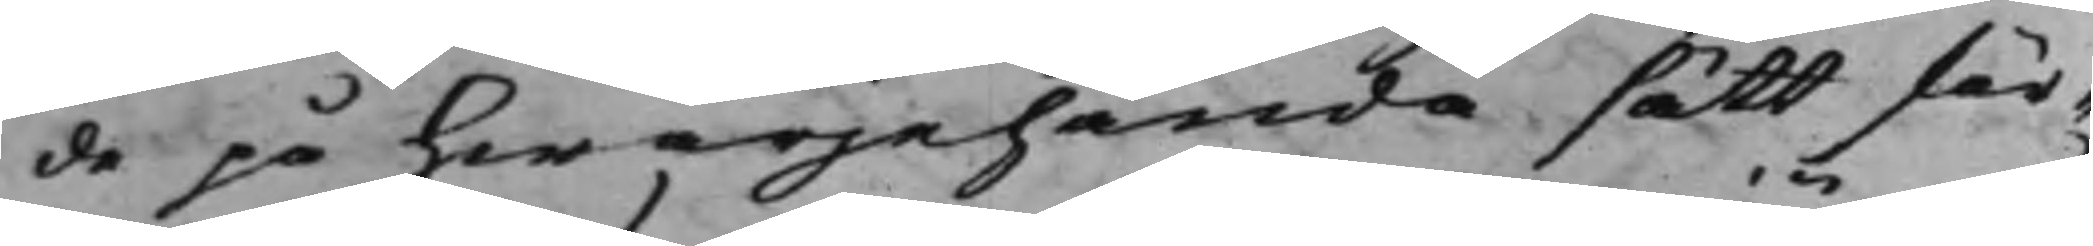de på hwarjehanda sätt för¬
